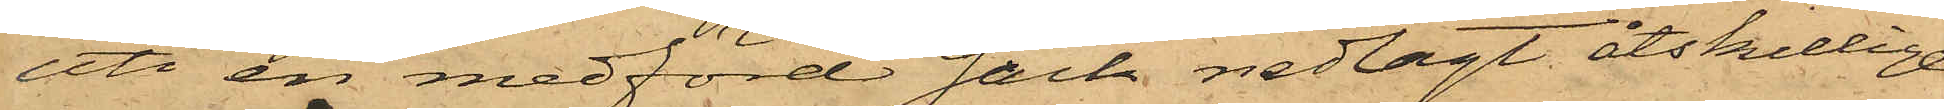uti en medförd säck nedlagt åtskillige
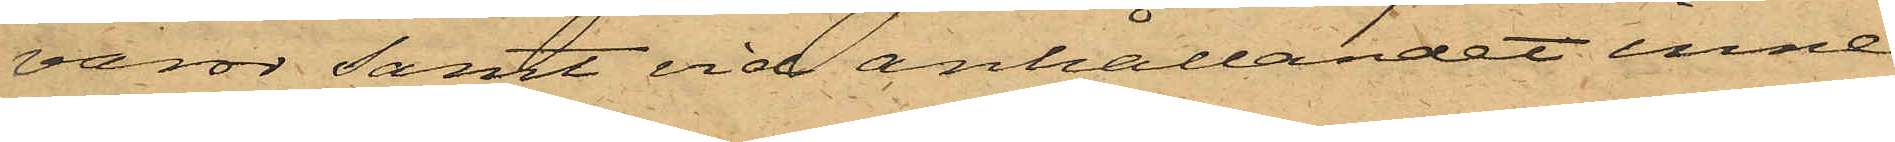varor samt vid anhållandet inne¬
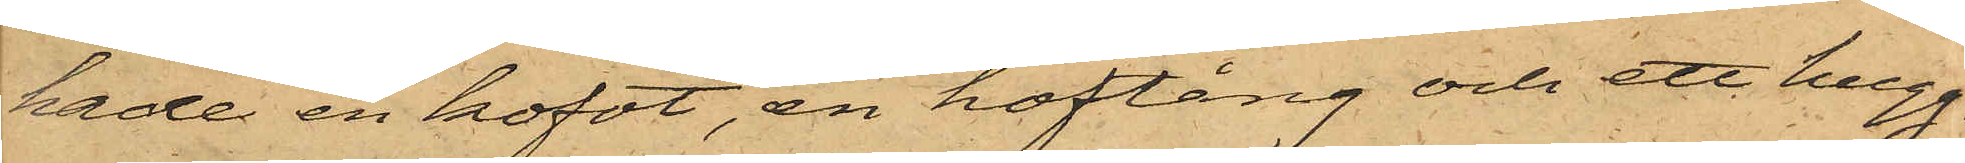hade en kofot, en hoftång och ett hugg¬
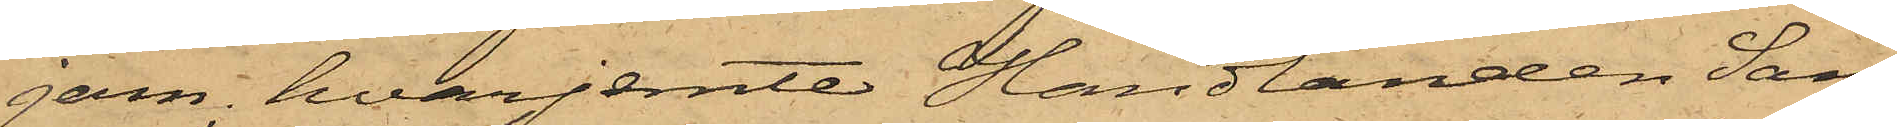jern, hvarjemte Handlanden San¬
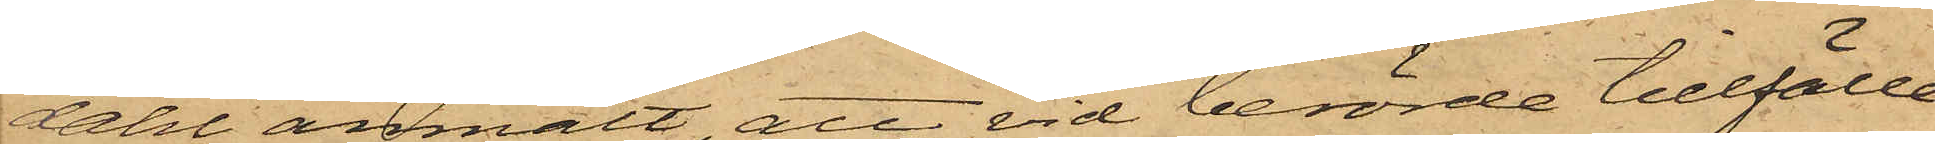dahl anmält, att vid berörde tillfälle
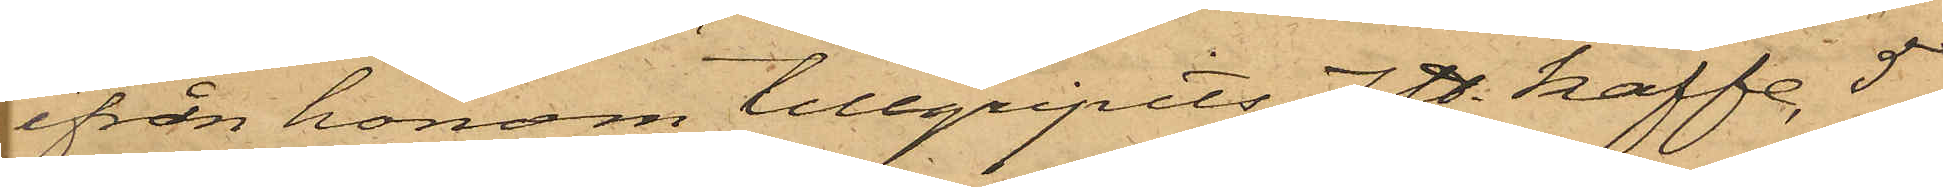ifrån honom tillgripits 7 ℔. kaffe, 5
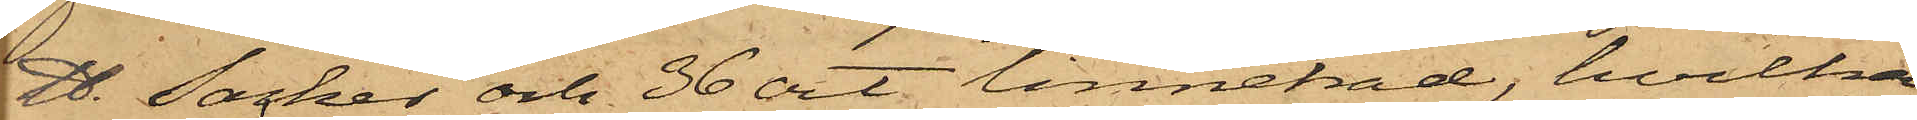℔. socker och 36 ort linnetråd, hvilka
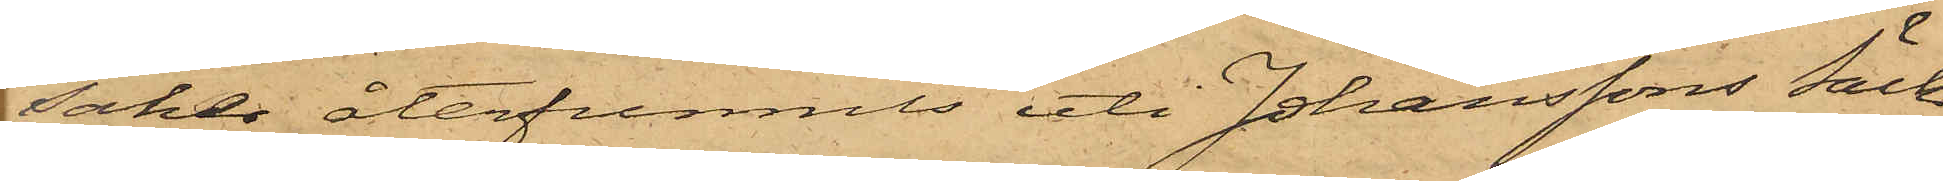saker återfunnits uti Johanssons Säck
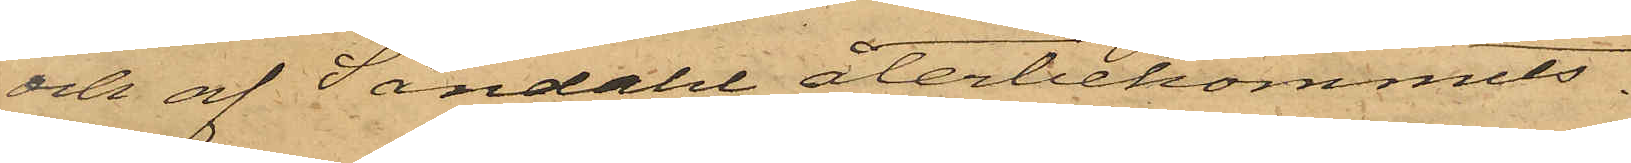och af Sandahl återbekommits.
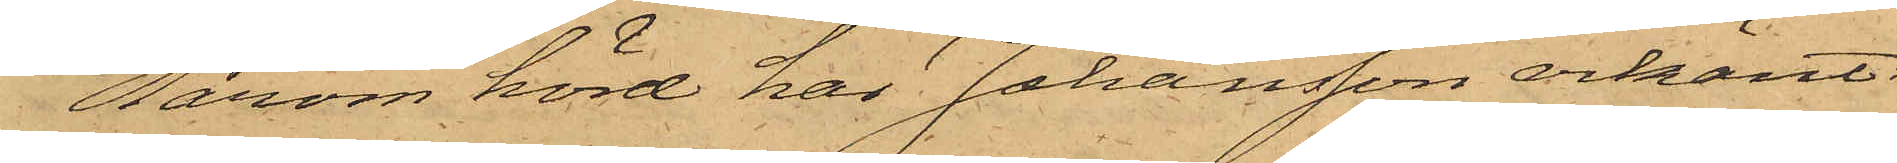Härom hörd har Johansson erkänt:
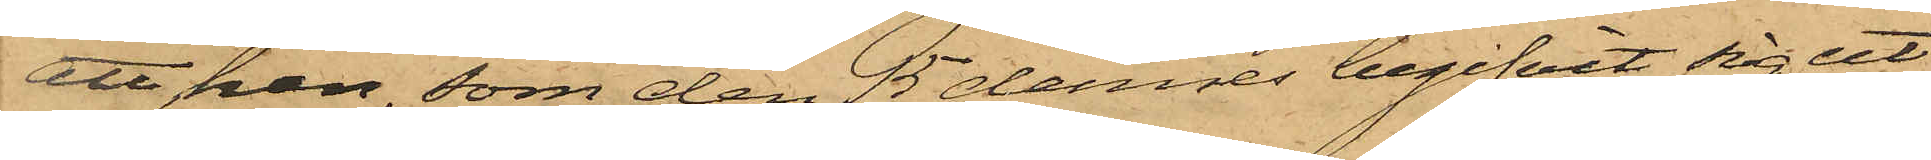att han, som den 15 dennes begifvit sig ut
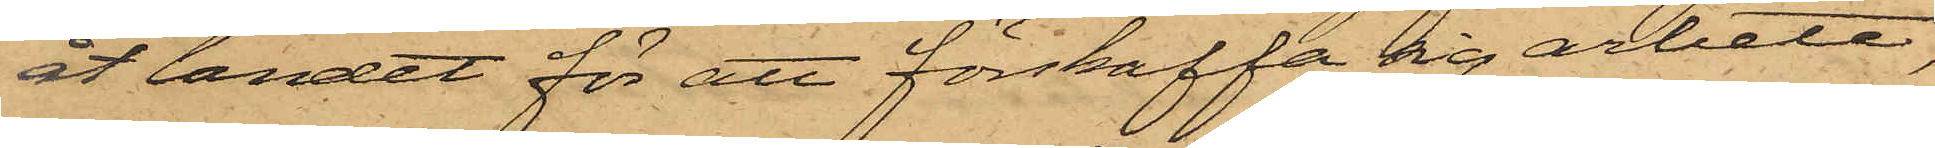åt landet för att förskaffa sig arbete,
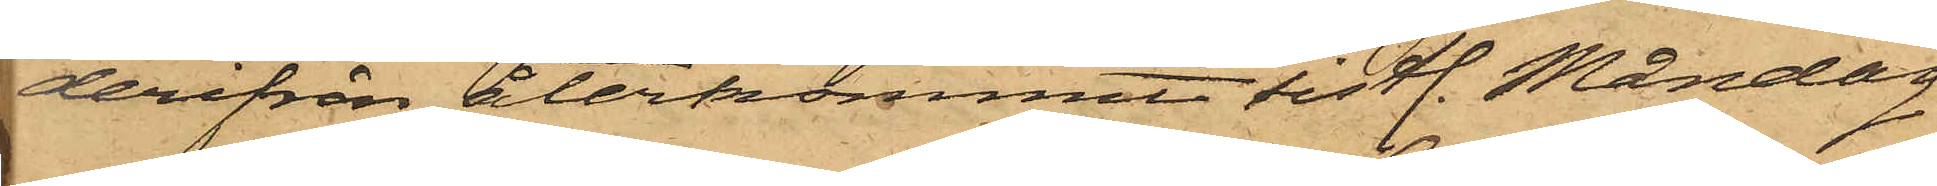derifrån återkommit sistl. Måndag
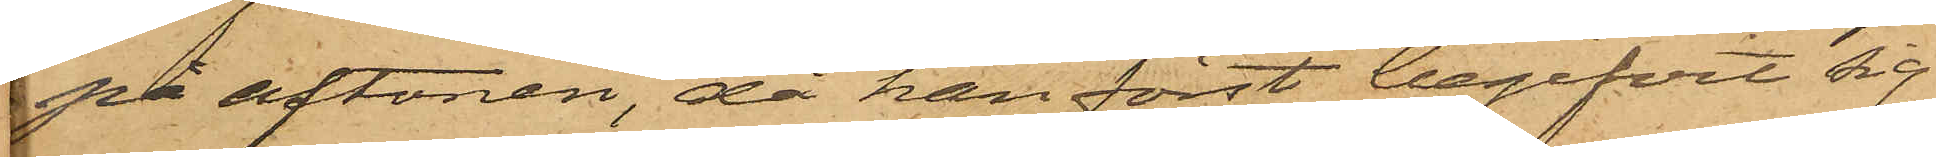på aftonen, då han först begifvit sig
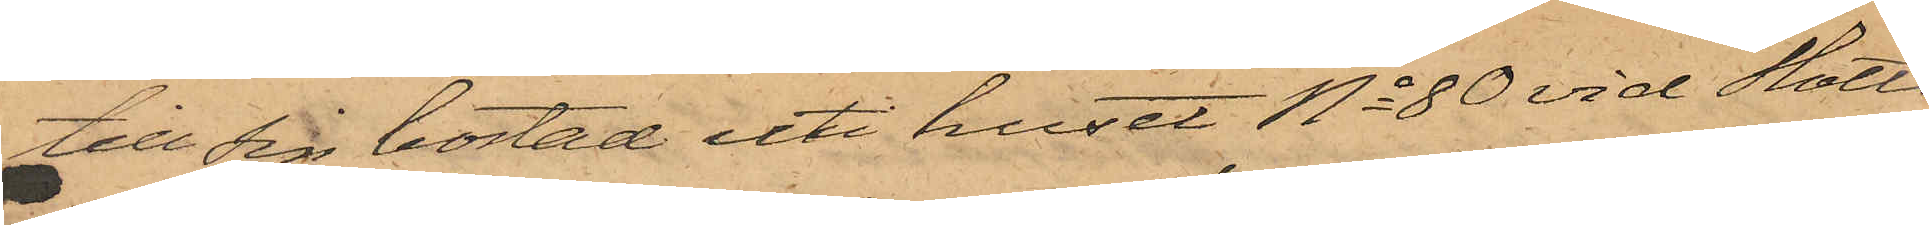till sin bostad uti huset No 80 vid Slotts¬
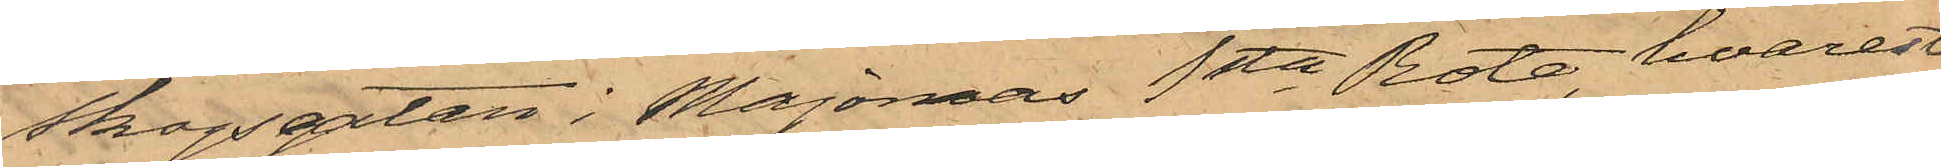skogsgatan i Majornas 1sta Rote, hvarest
